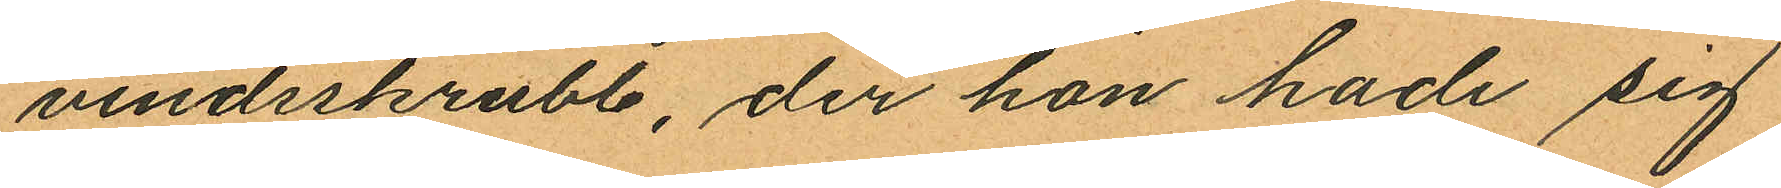vindsskrubb, der hon hade sig
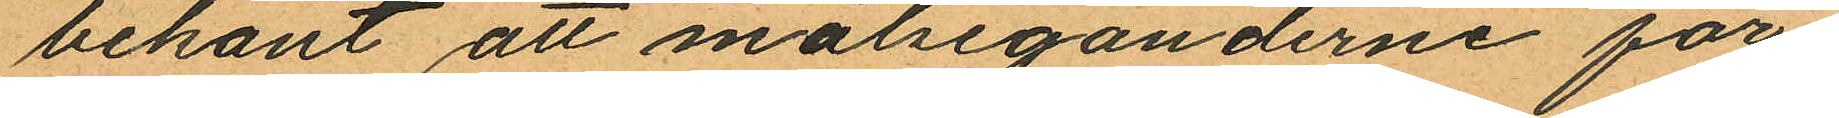bekant att målseganderne för¬
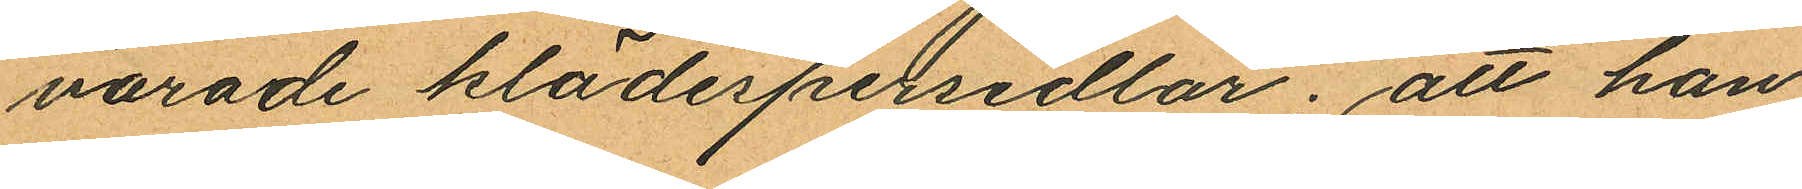varade klädespersedlar; att hon
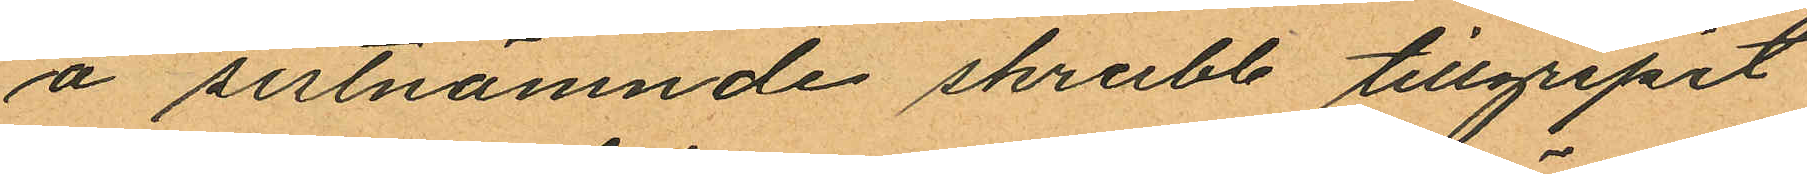å sistnämnde skrubb tillgripit
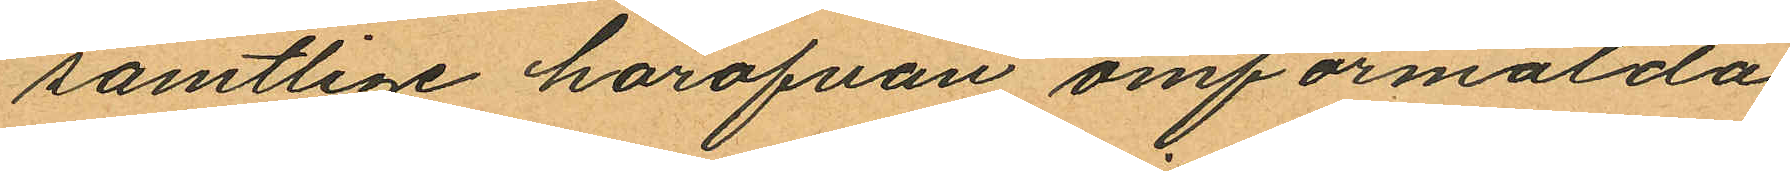samtlige härofvan omförmälda
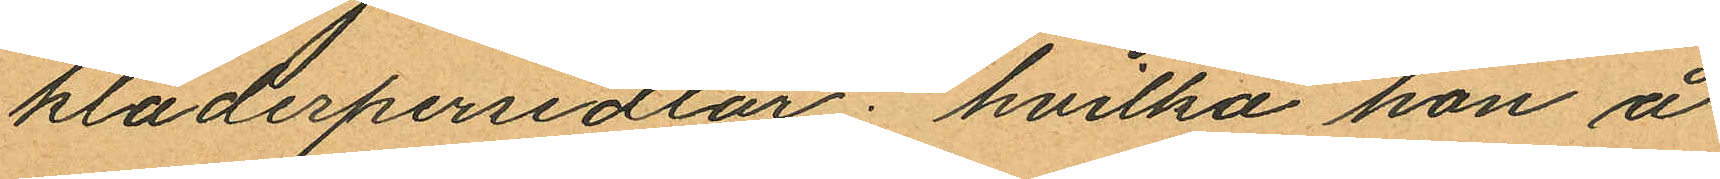klädespersedlar; hvilka hon å
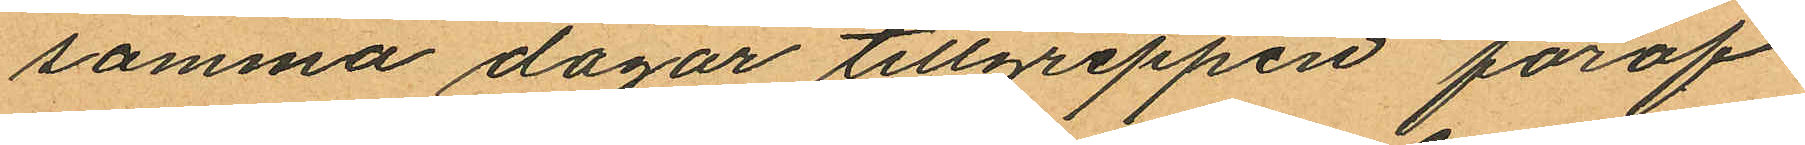samma dagar tillgreppen föröf¬
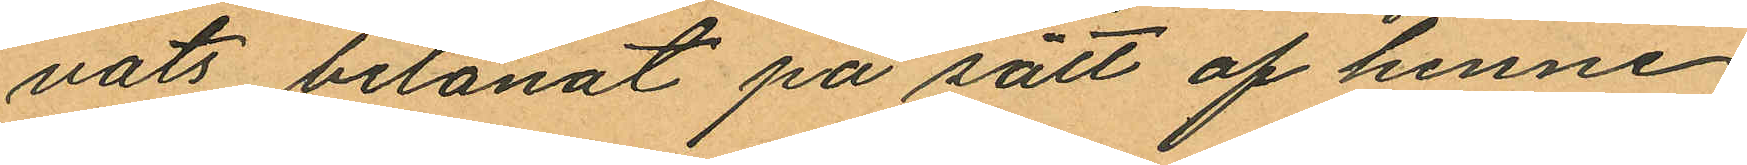vats belånat på sätt af henne
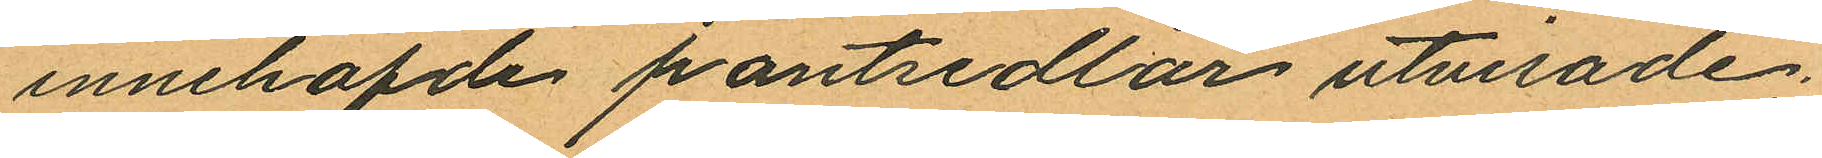innehafde pantsedlar utvisade;
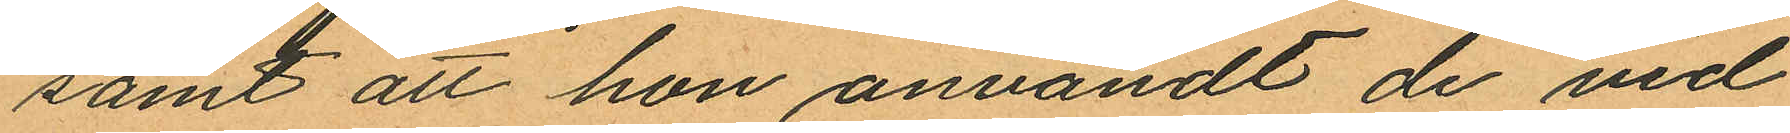samt att hon användt de vid
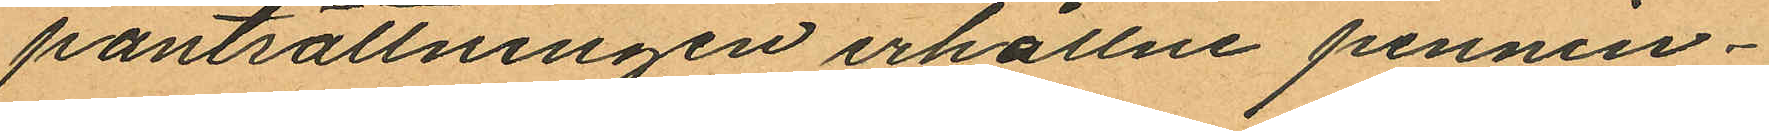pantsättningen erhållne pennin¬
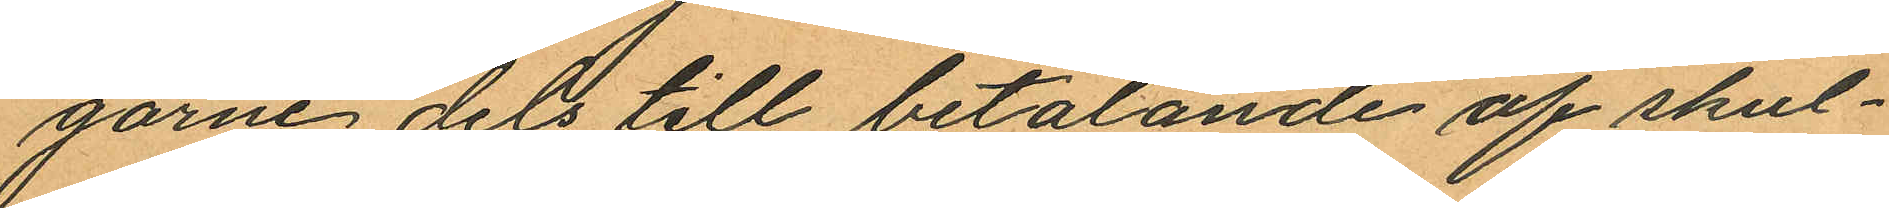garne dels till betalande af skul¬
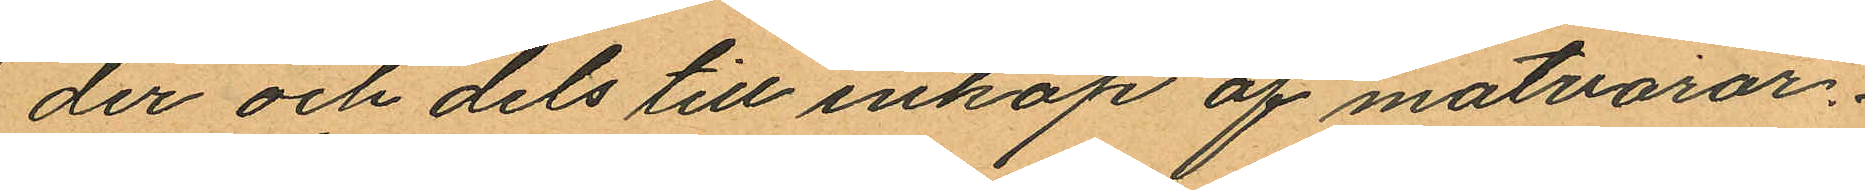der och dels till inköp af matvaror.
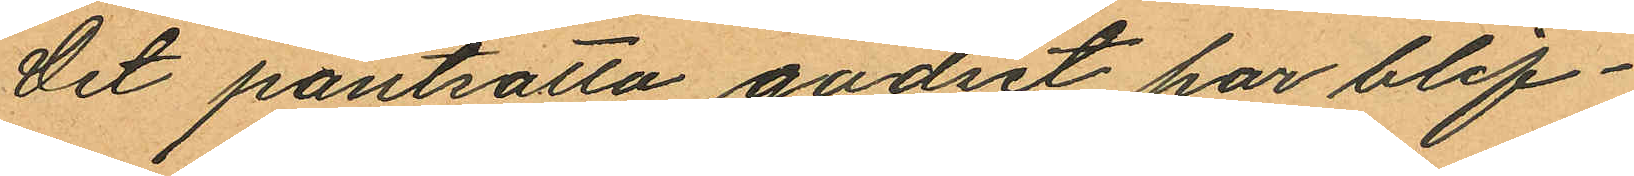Det pantsatta godset har blif¬
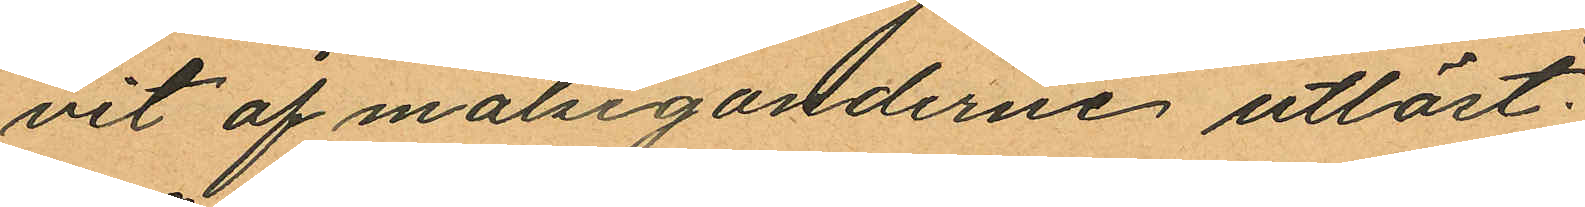vit af målseganderne utlöst.
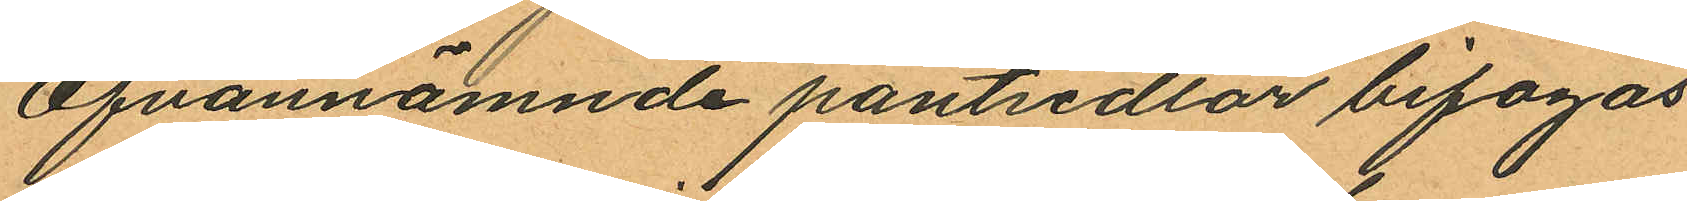Ofvannämnde pantsedlar bifogas
